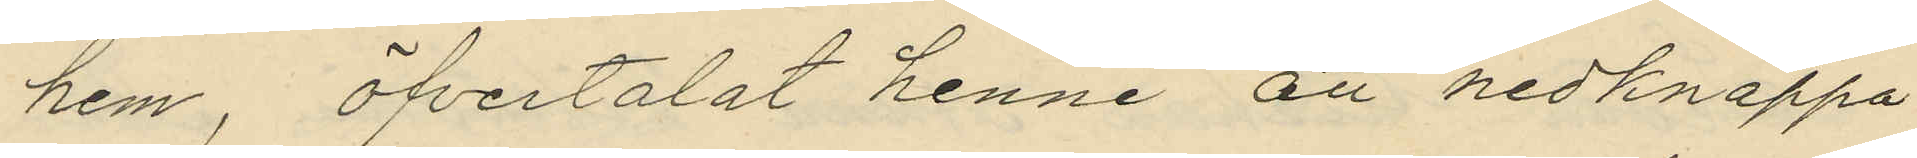hem, öfvertalat henne att nedknäppa
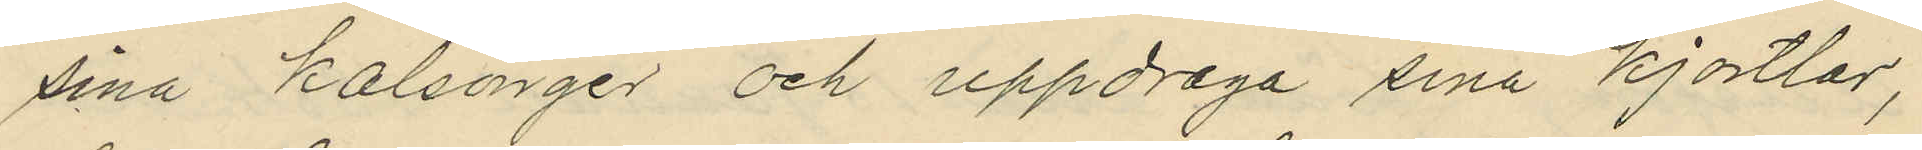sina kalsonger och uppdraga sina kjortlar,
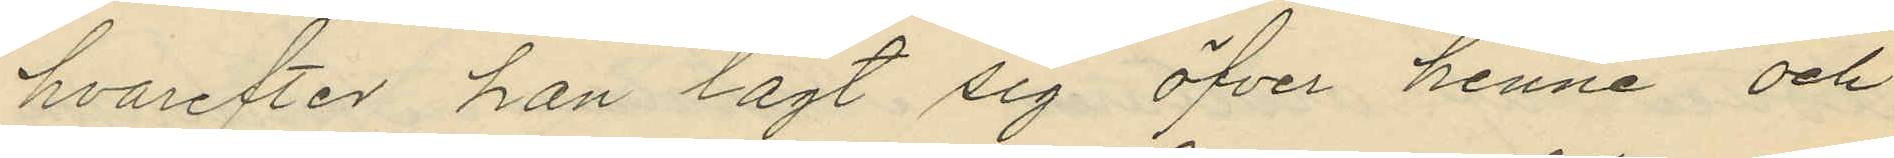hvarefter han lagt sig öfver henne och
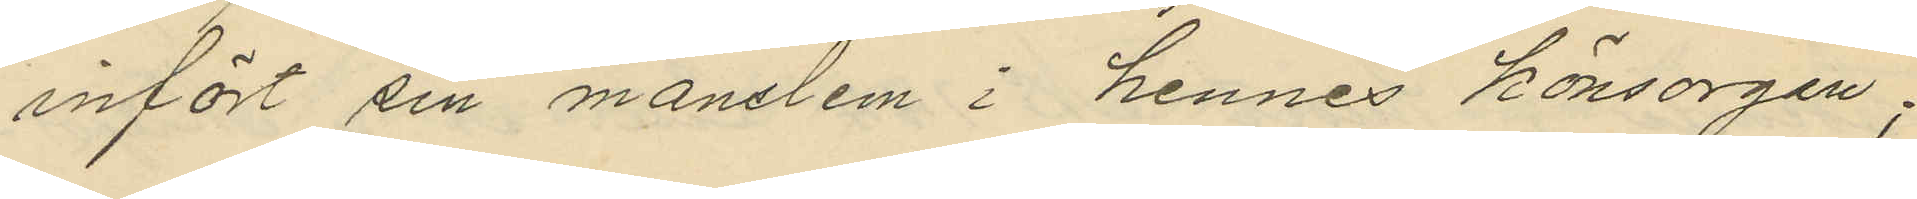infört sin manslem i hennes könsorgan;
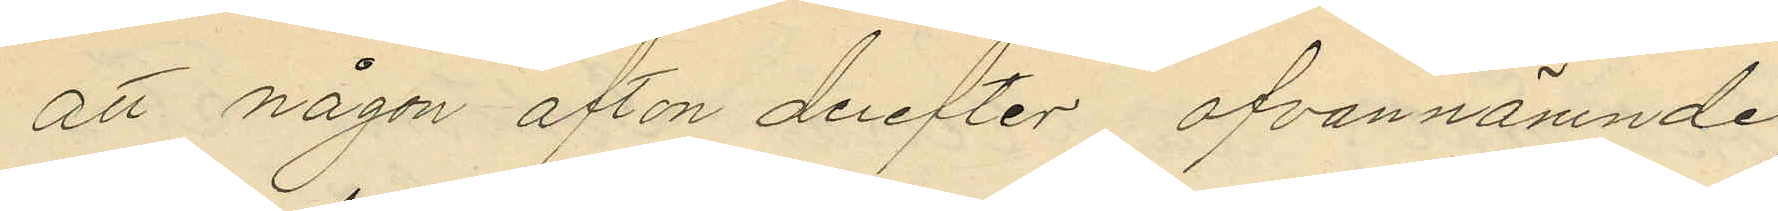att någon afton derefter ofvannämnde
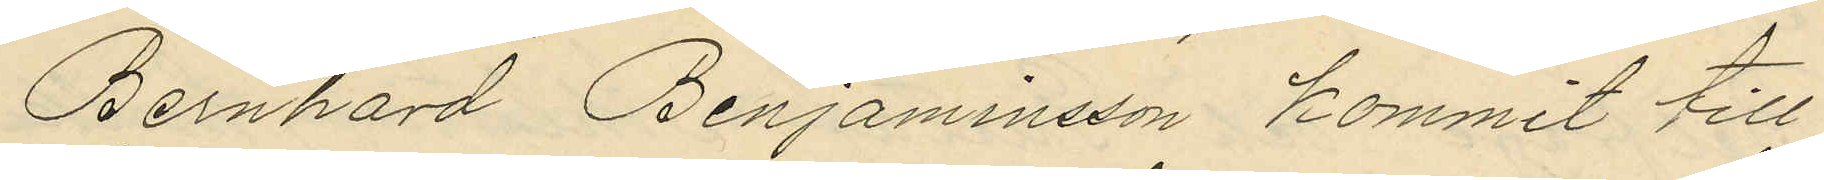Bernhard Benjaminsson kommit till
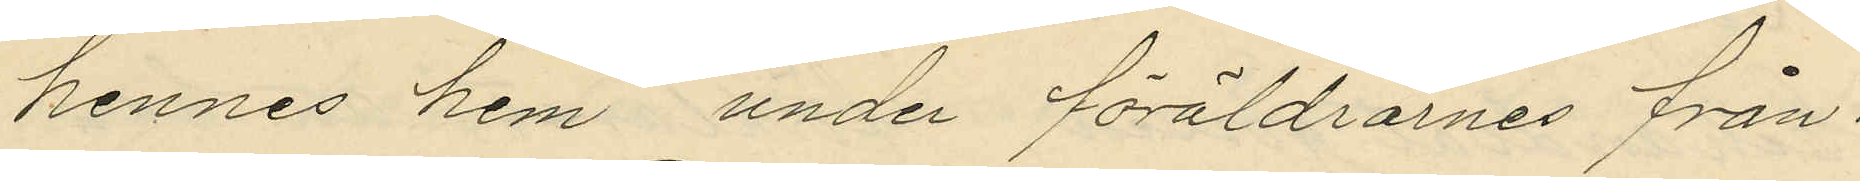hennes hem, under föräldrarnes från¬
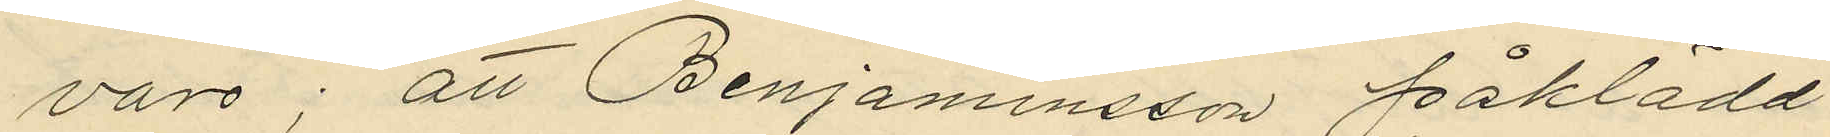varo; att Benjaminsson påklädd
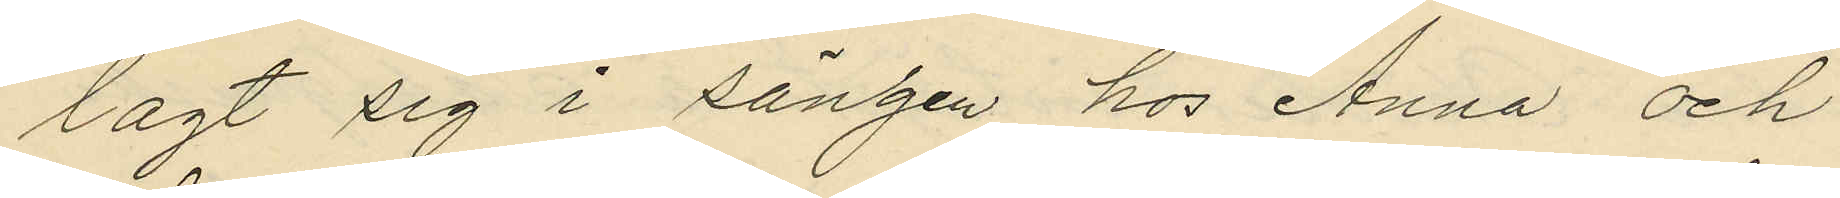lagt sig i sängen hos Anna och
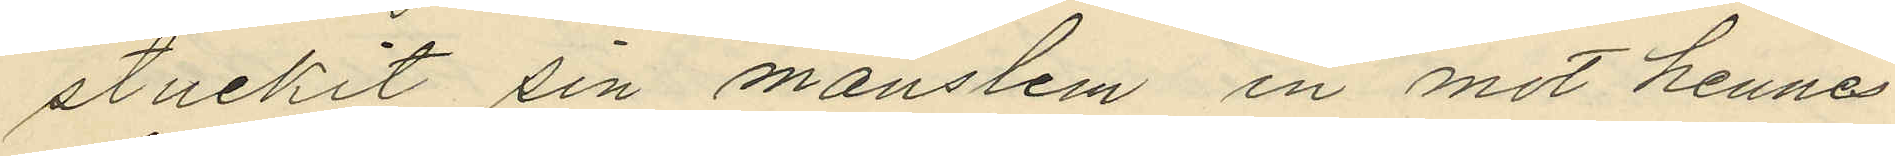stuckit sin manslem in mot hennes
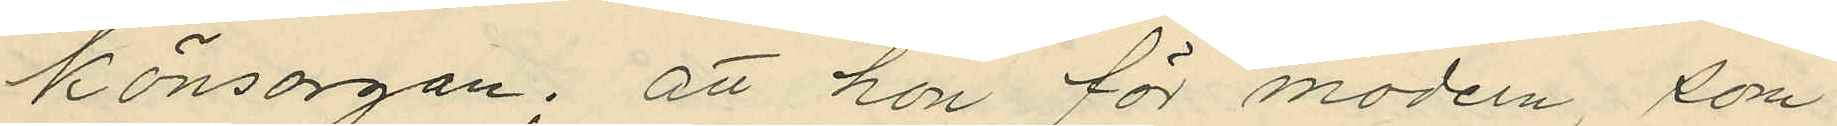könsorgan; att hon för modern, som
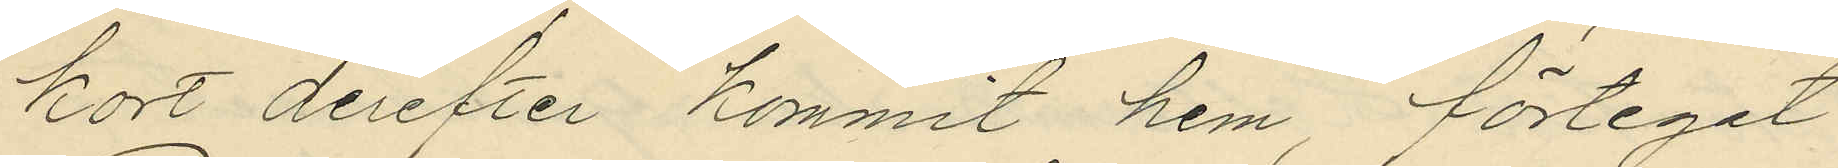kort derefter kommit hem, förteget
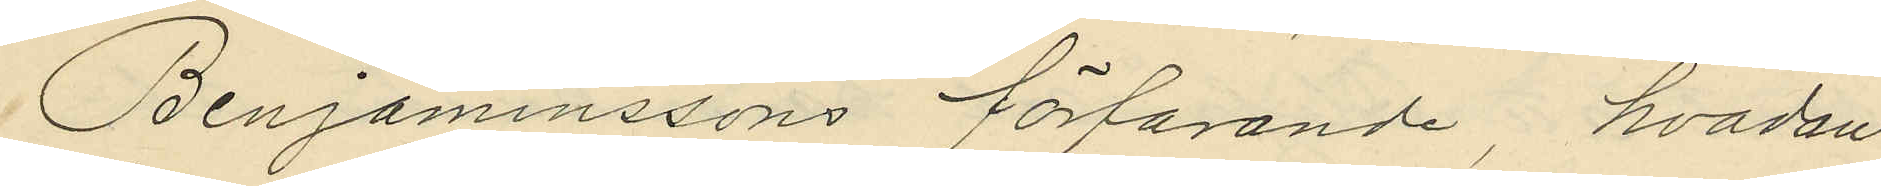Benjaminssons förfarande, hvadan
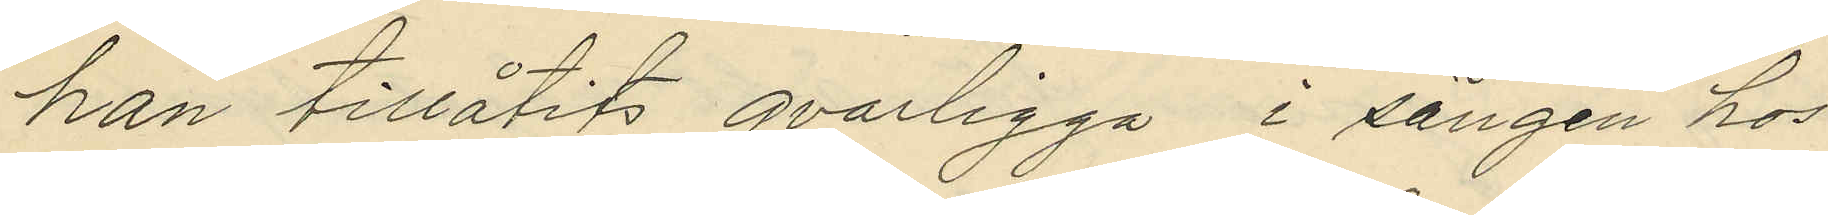han tillåtits qvarligga i sängen hos
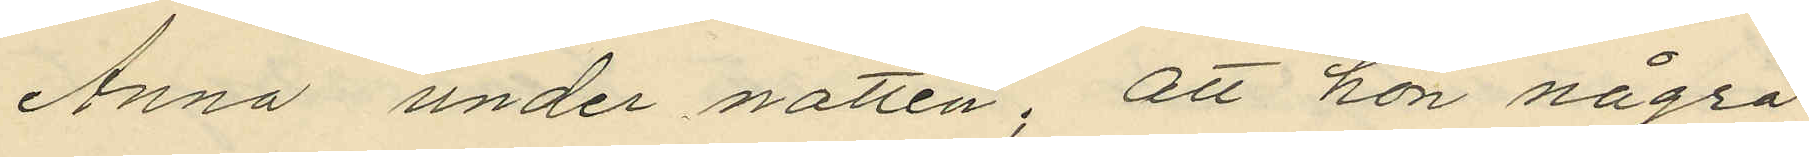Anna under natten; att hon några
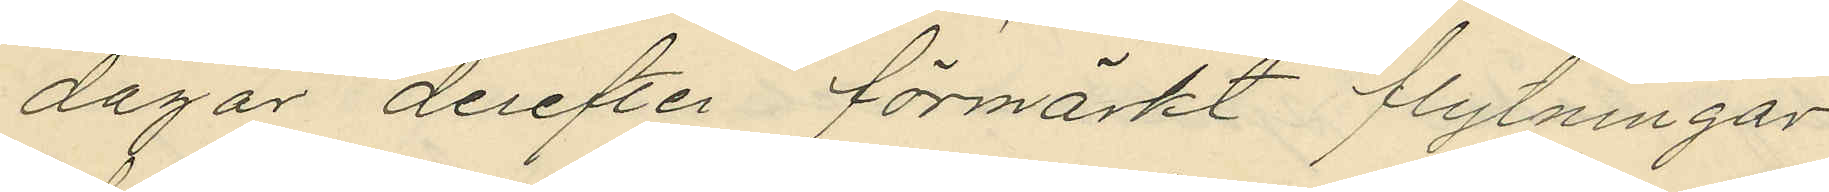dagar derefter förmärkt flytningar
